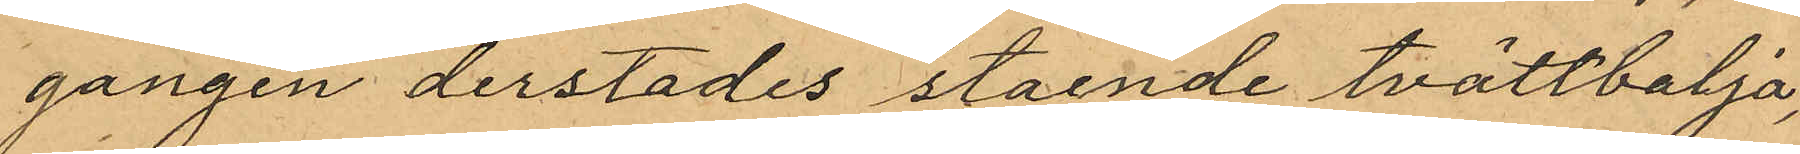gången derstädes staende tvättbalja,
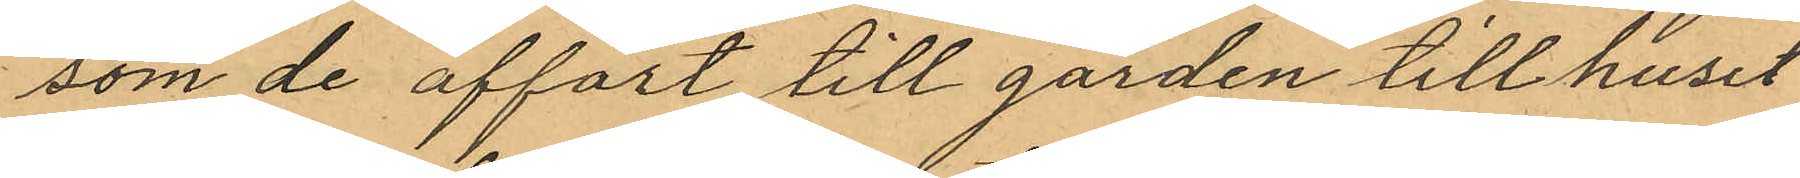som de affört till garden till huset
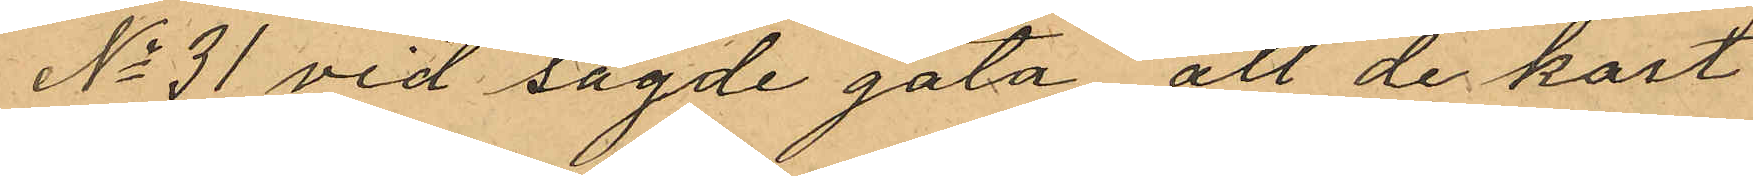No 31 vid sagde gata, att de kort
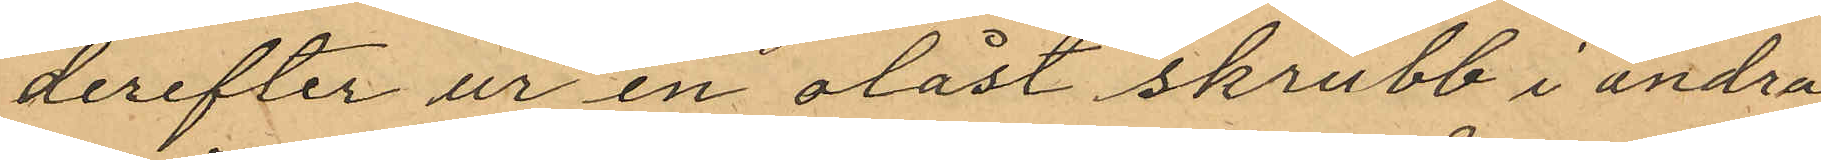derefter ur en olåst skrubb i andra
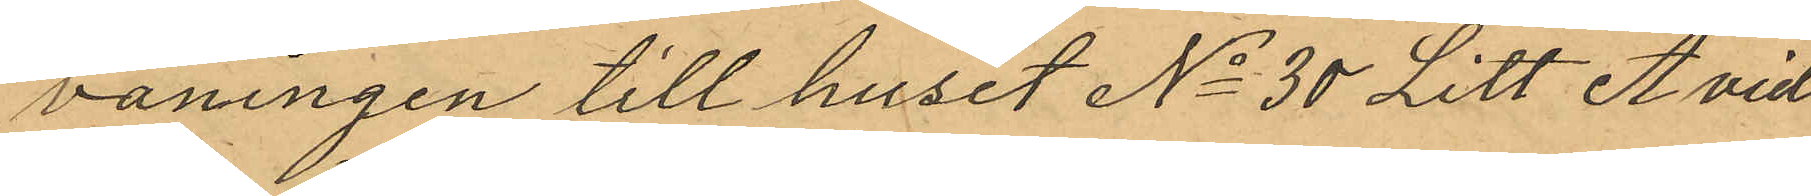våningen till huset No 30 Litt A vid
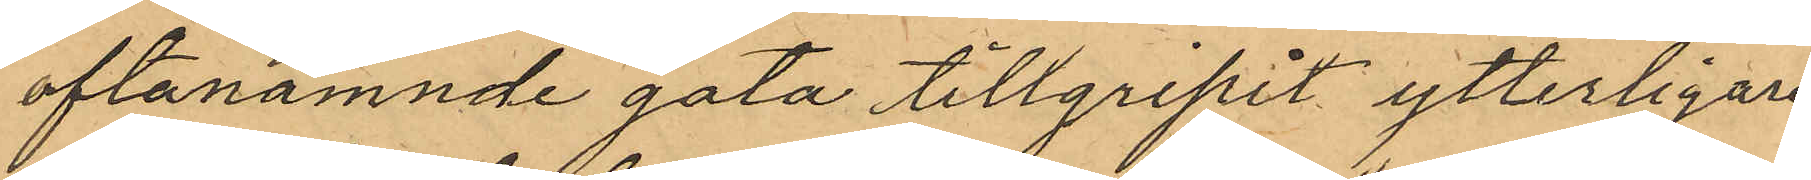oftanämnde gata tillgripit ytterligare
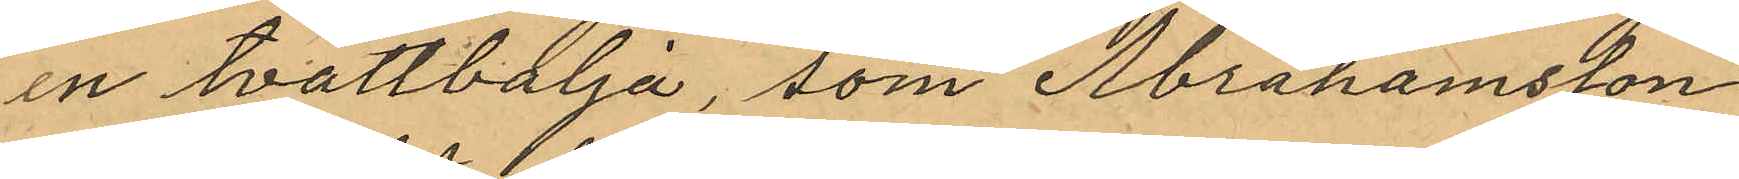en tvättbalja, som Abrahamsson
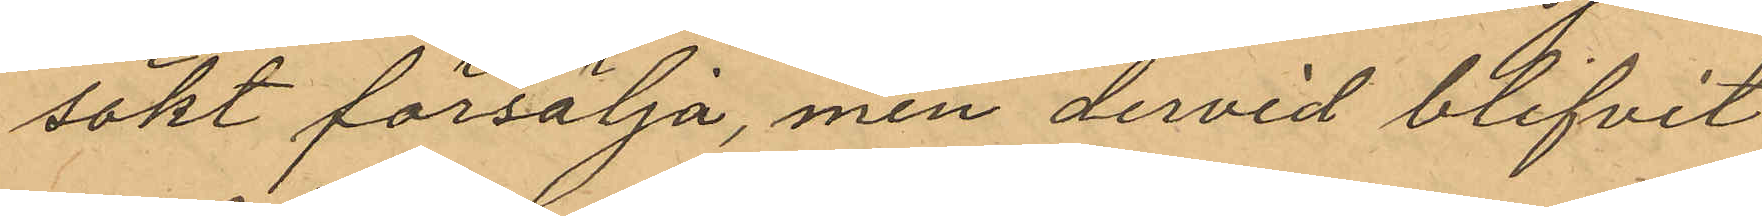sökt försälja, men dervid blifvit
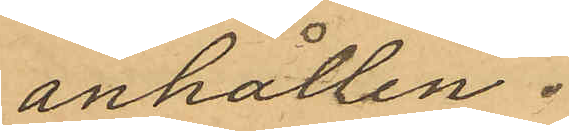anhållen.
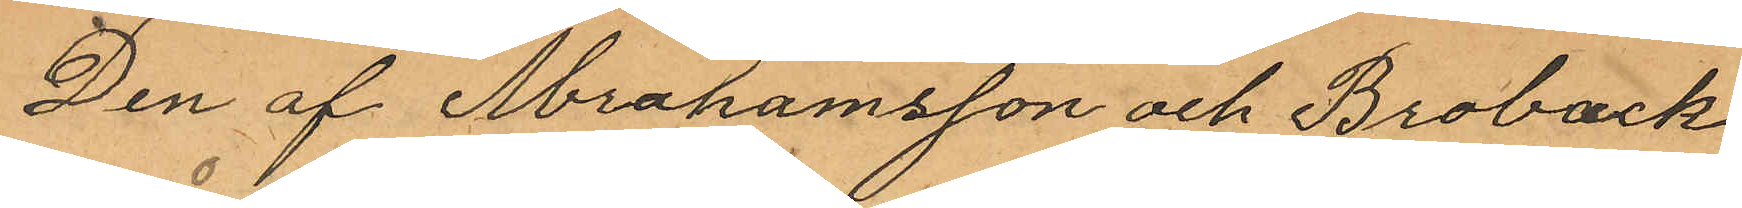Den af Abrahamsson och Broback
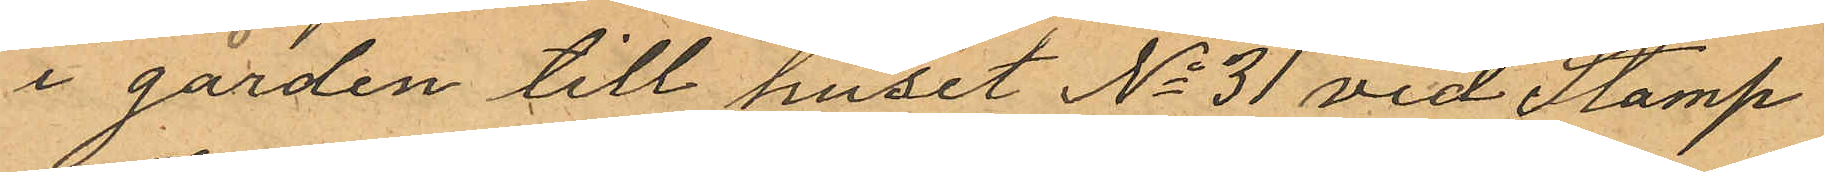i gården till huset No 31 vid Stamp¬
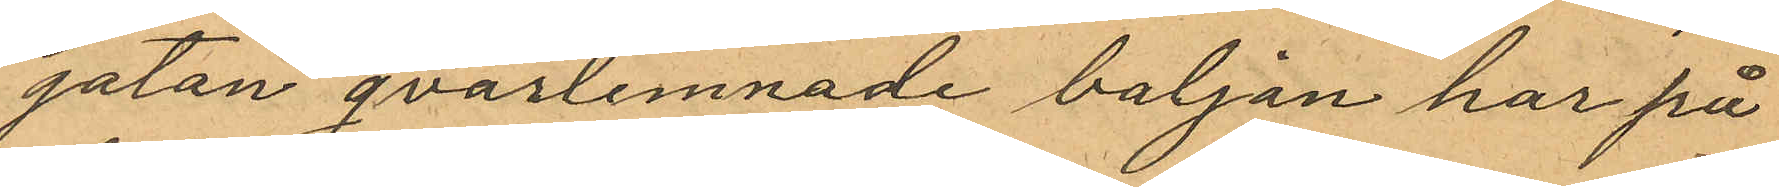gatan qvarlemnade baljan har på¬
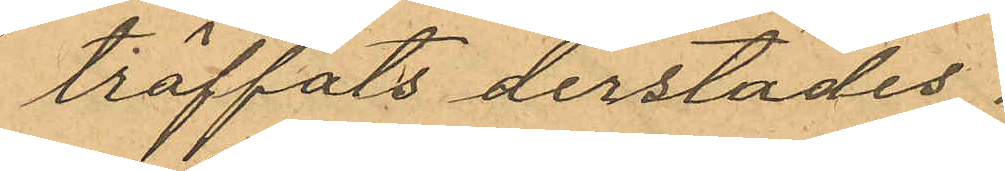träffats derstädes.
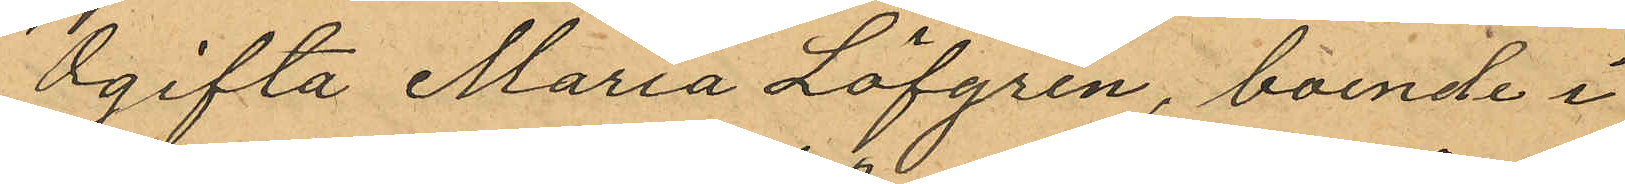Ogifta Maria Löfgren, boende i
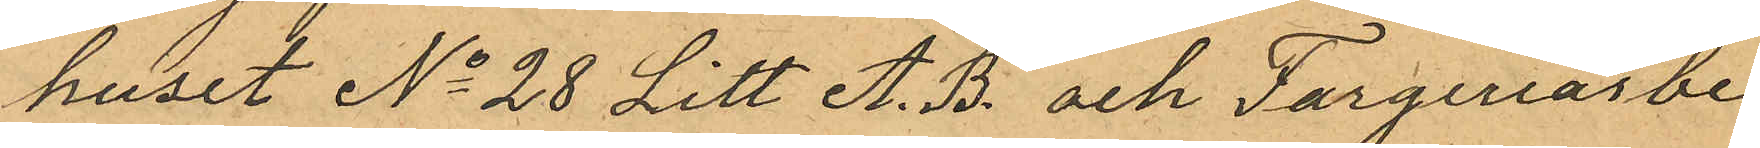huset No 28 Litt A. B. och Fargeriarbe¬
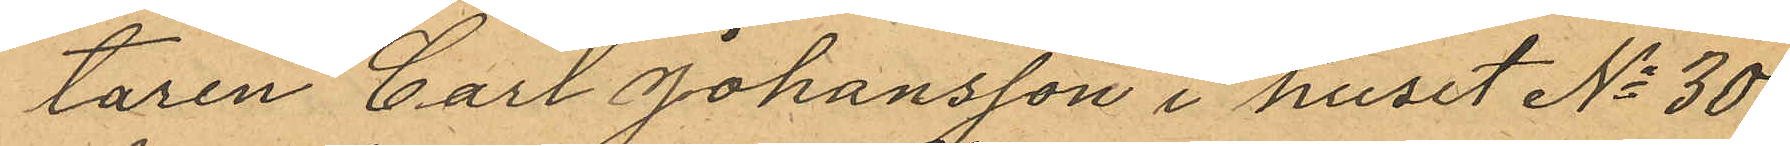taren Carl Johansson i huset No 30
